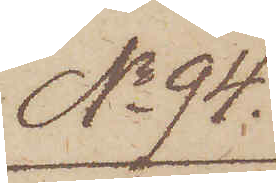No 94.
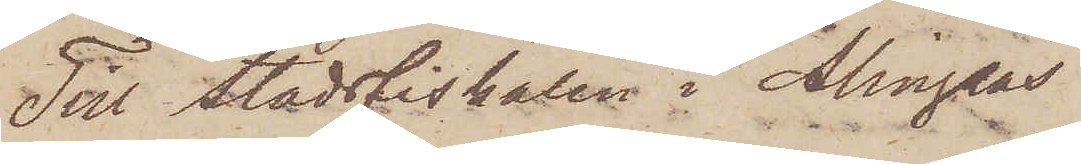Till Stadsfiskalen i Alingsås
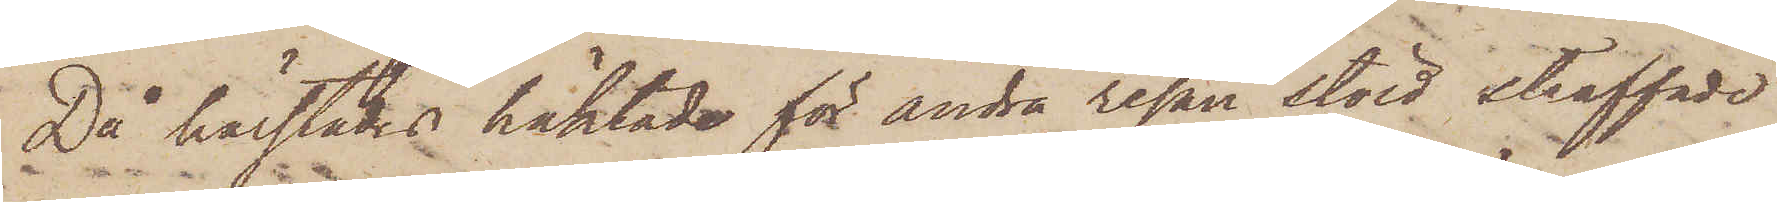Då härstädes häktade för andra resan stöld straffade
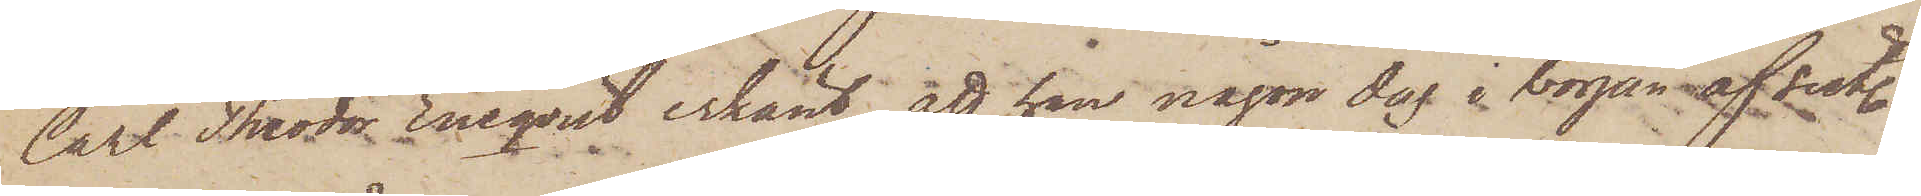Carl Theodor Eneqvist erkänt, att han någon dag i början af sist.
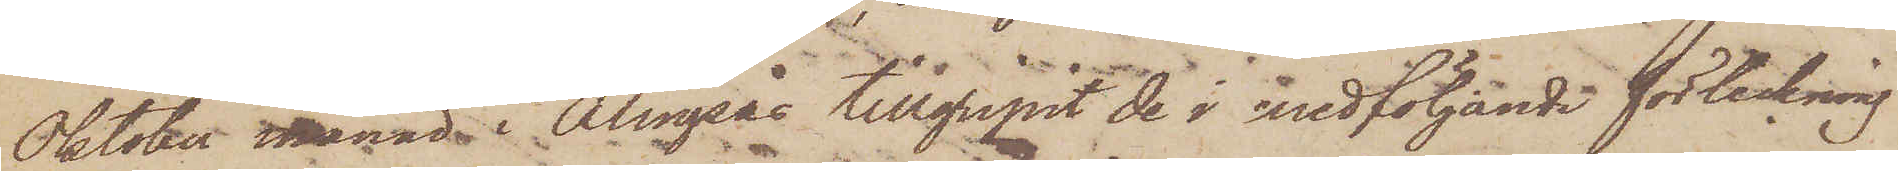Oktober månad i Alingsås tillgripit de i medföljande förteckning
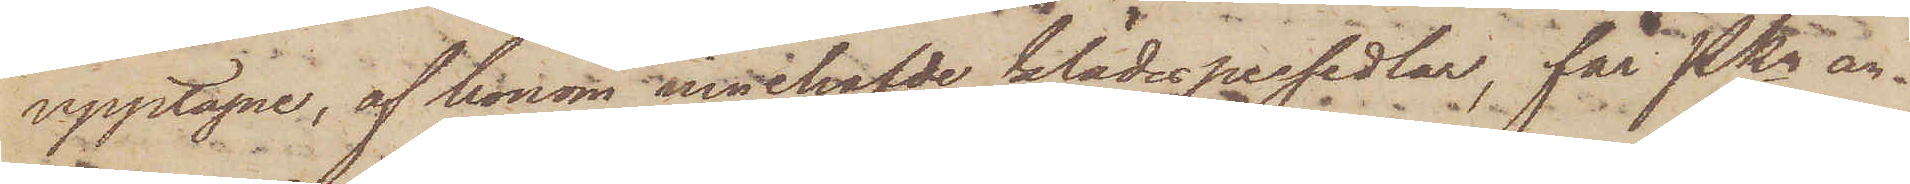upptagne, af honom innehafvde klädespersedlar, får PKn an¬
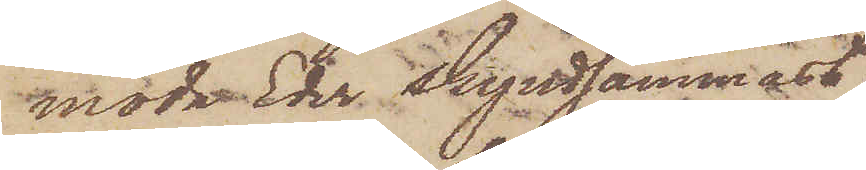moda Eder skyndsammast,
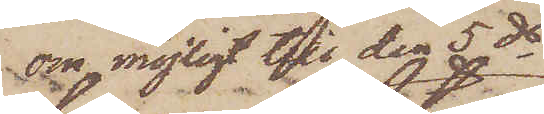om möjligt till den 5 ds
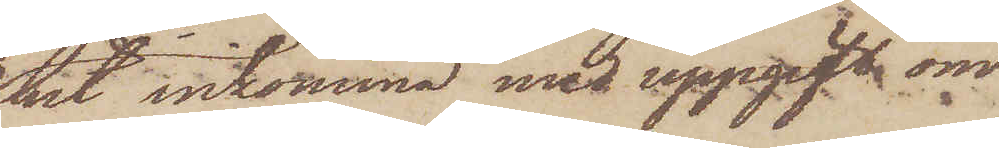hit inkomma med uppgift om
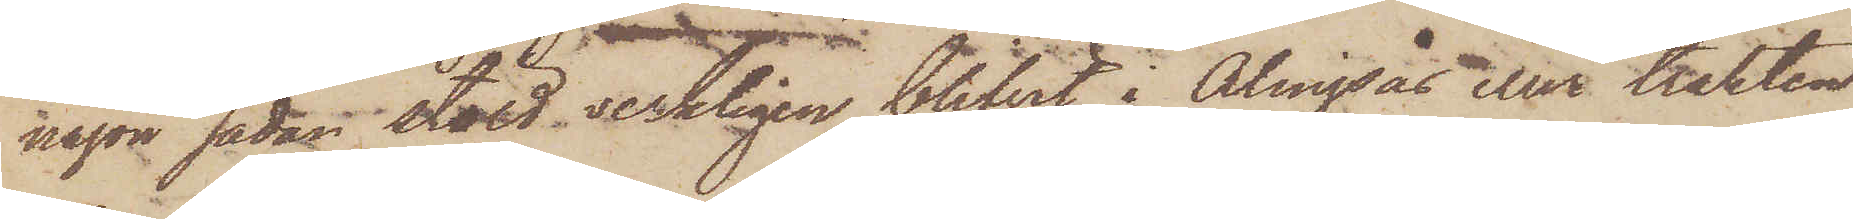någon sådan stöld verkligen blifvit i Alingsås eller trakten
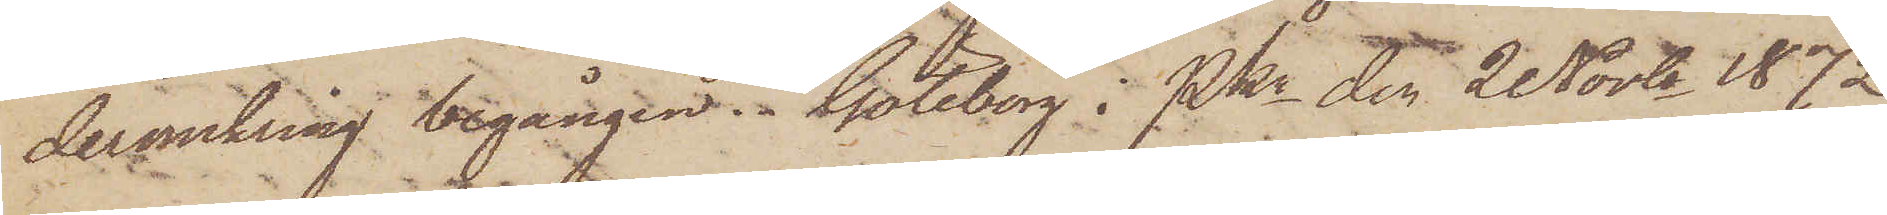deromkring begången. Göteborg i Pkn den 2 Novbr. 1872
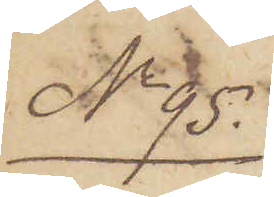No 95.
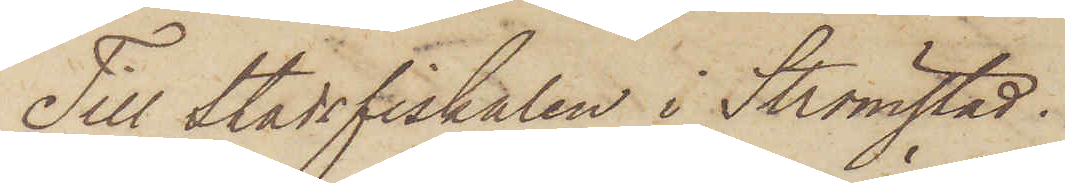Till Stadsfiskalen i Strömstad.
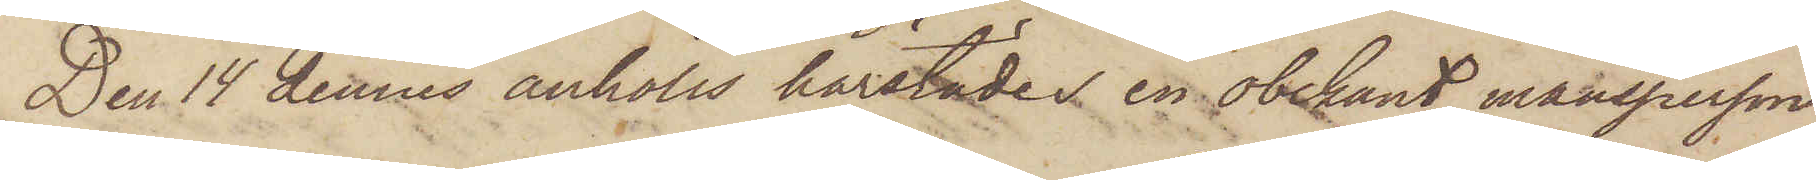Den 14 dennes anhölls härstädes en obekant mansperson
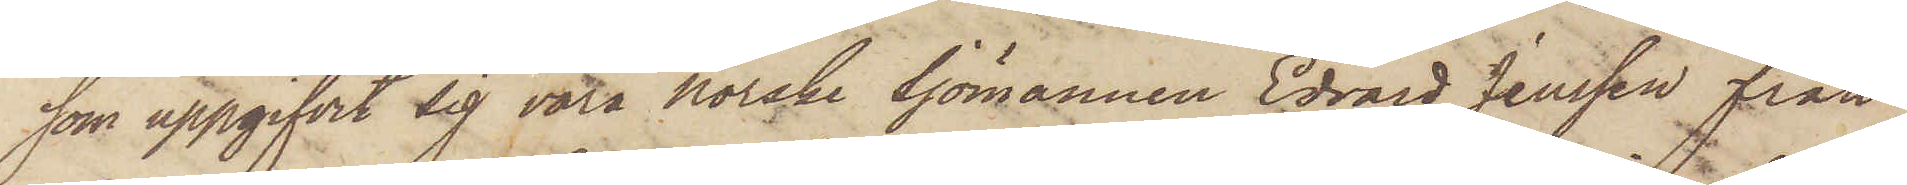som uppgifvit sig vara Norske Sjömannen Edvard Jenssen från
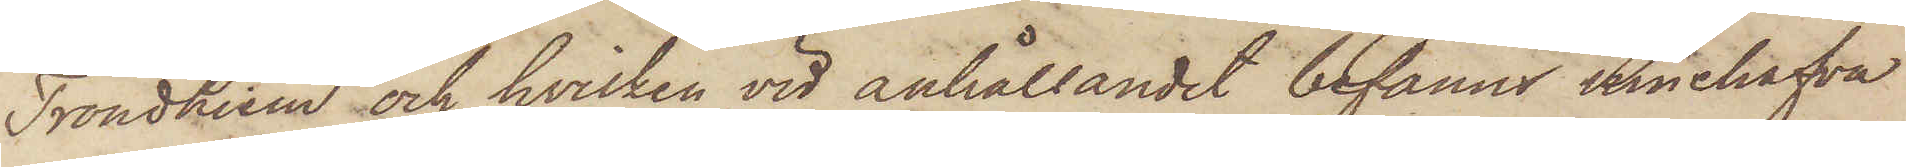Trondhiem och hvilken vid anhållandet befanns innehafva
